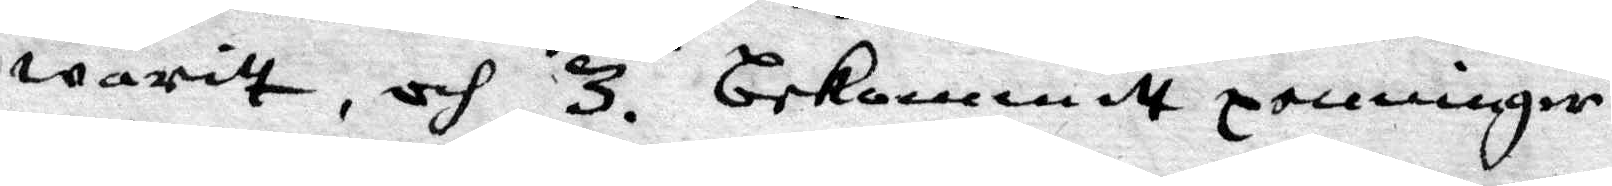waritt, och 3. Bekommit penningar
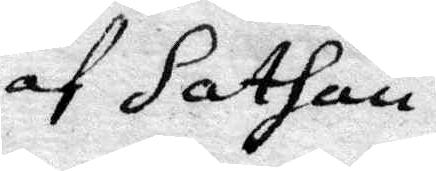af Sathan.
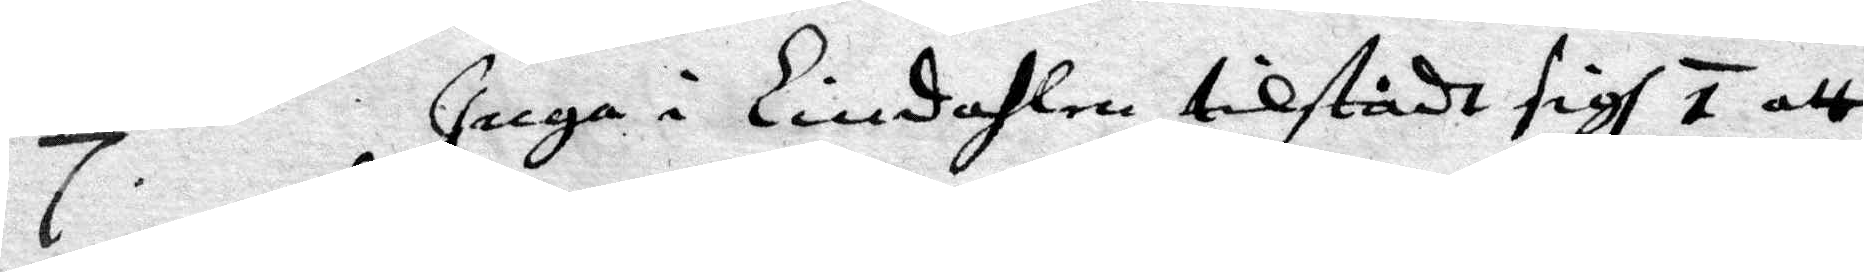7. Inga i Lindahl tillstådt sigh 1. att
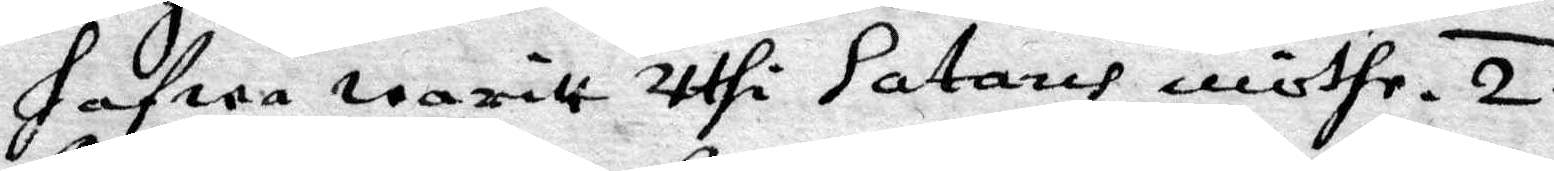hafwa waritt uthi Satans möthe. 2.
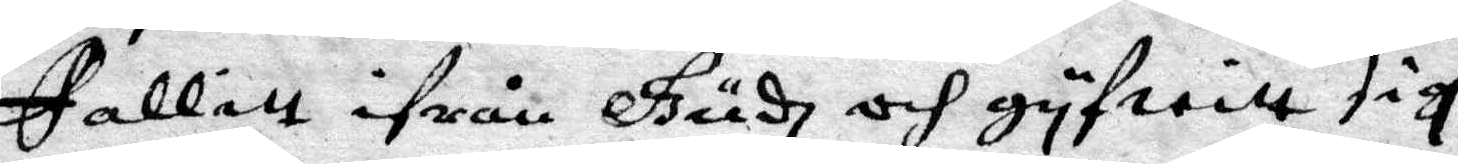Fallitt ifrån Gudh och gyfwitt sigh
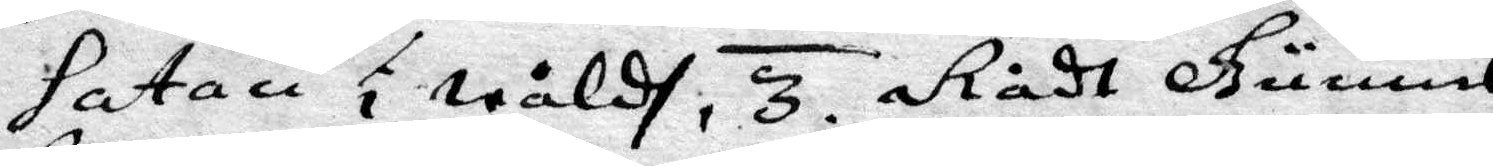Satan i wåld, 3. Rådt Gunnel
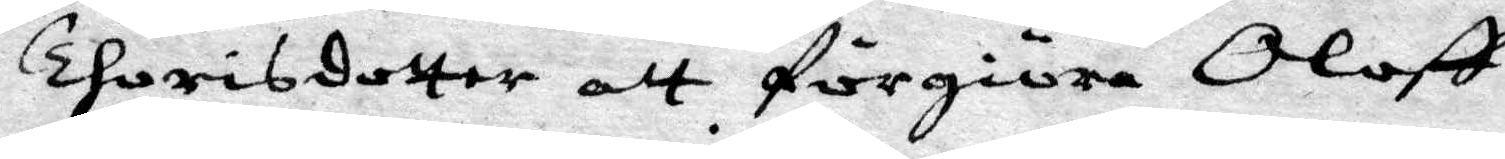Thorisdotter att förgiöra Oloff
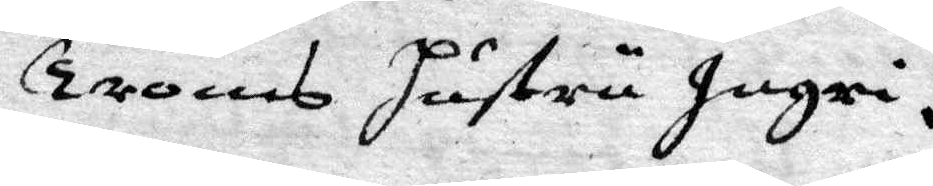Trons Hustru Ingri.
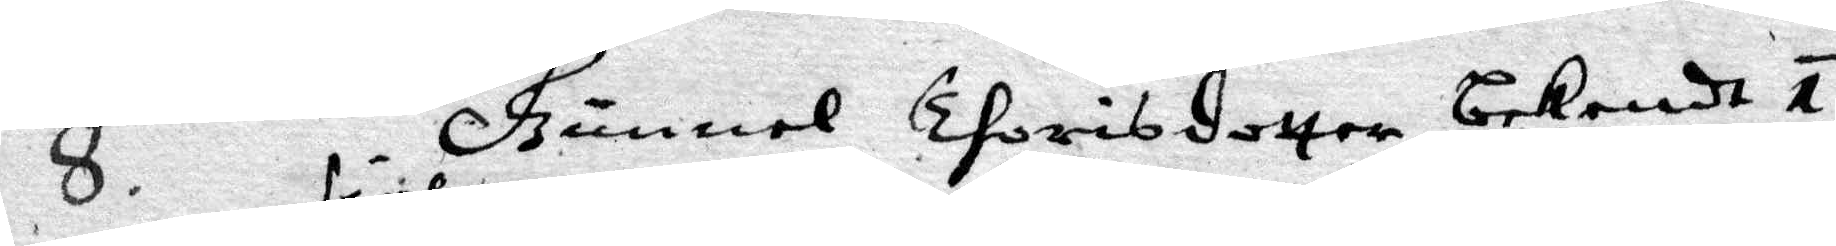8. Gunnel Thorisdotter bekedt 1.
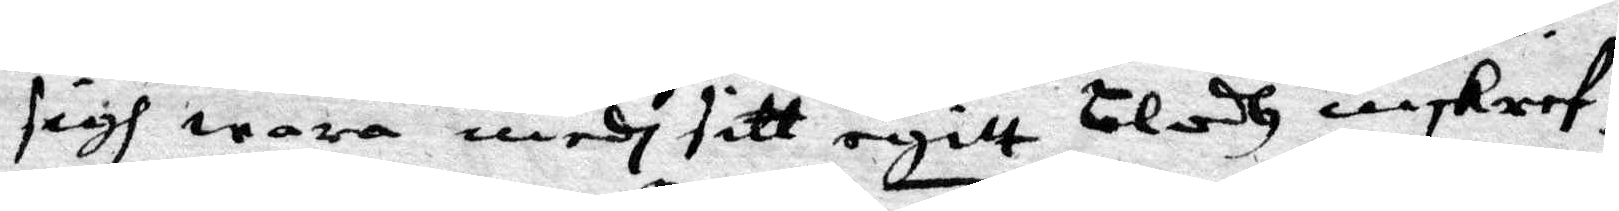sigh wara medh sitt egitt blodh inskref¬
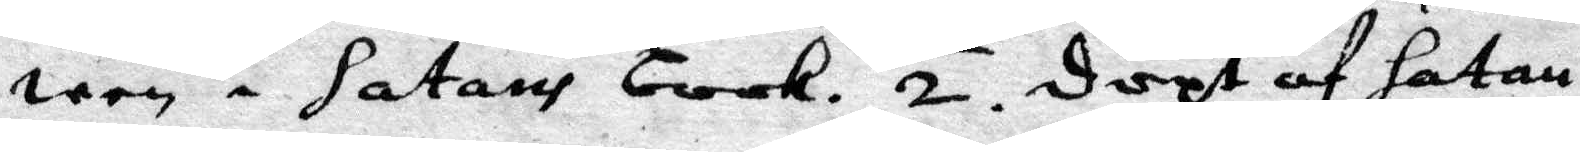wen i satans book. 2. Döpt af Satan.
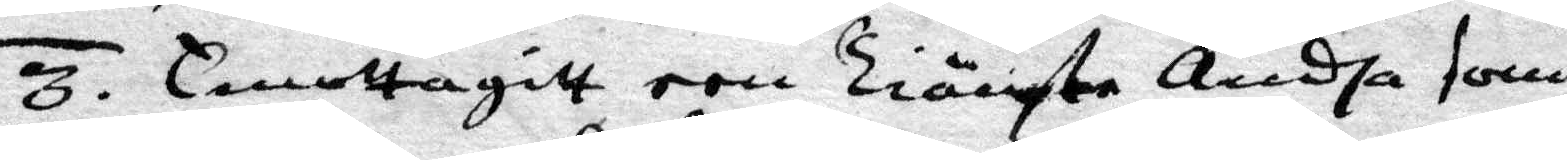3. Emottagitt een Tiänste Andha som
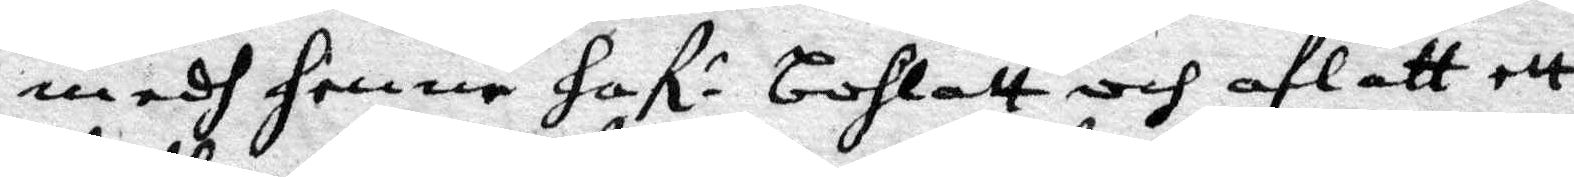medh henne Haf: bohlatt och aflatt ett
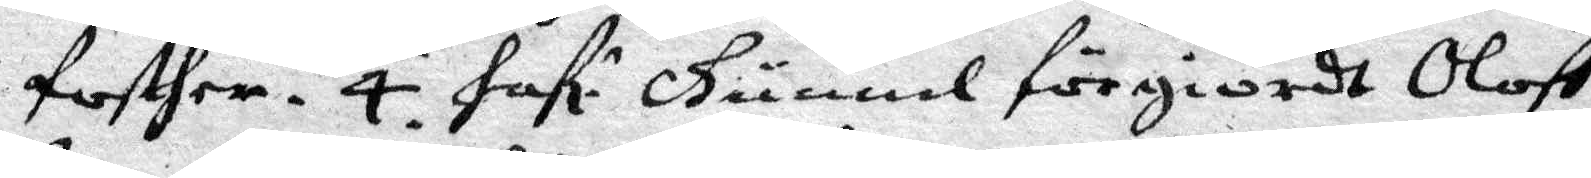fosther. 4. Haf: Gunnel förgiordt Oloff
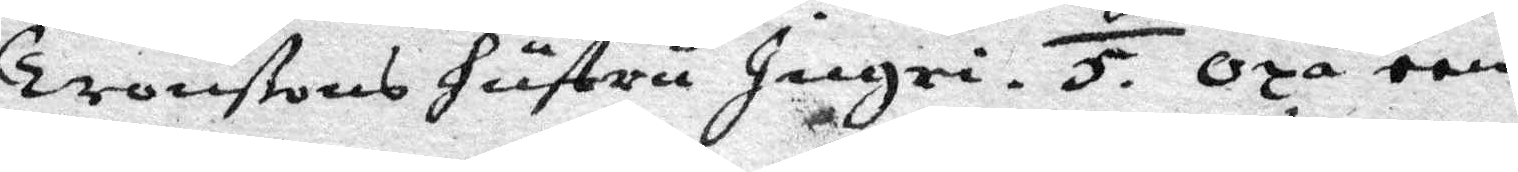Tronßons Hustru Ingri. 5. Oxå een
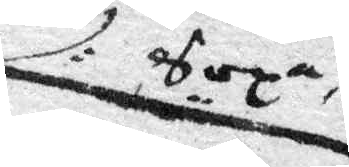Sopa
